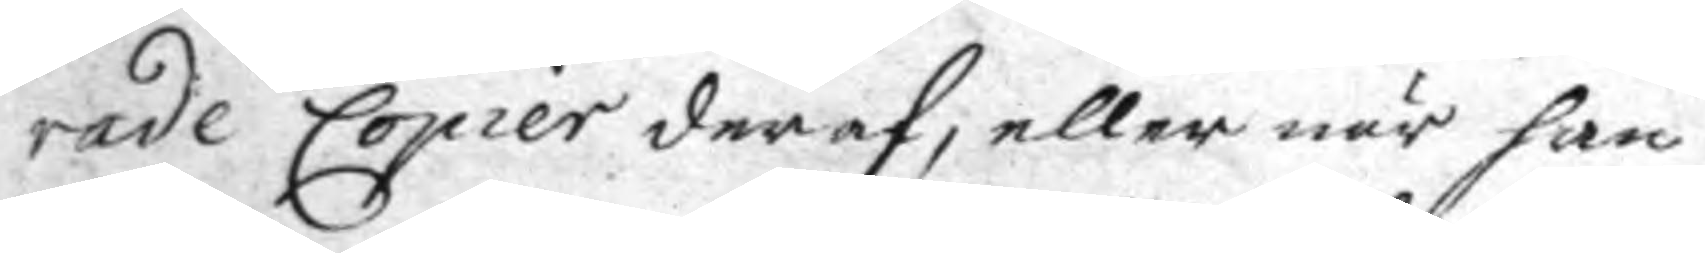rade Copier deraf, eller när han
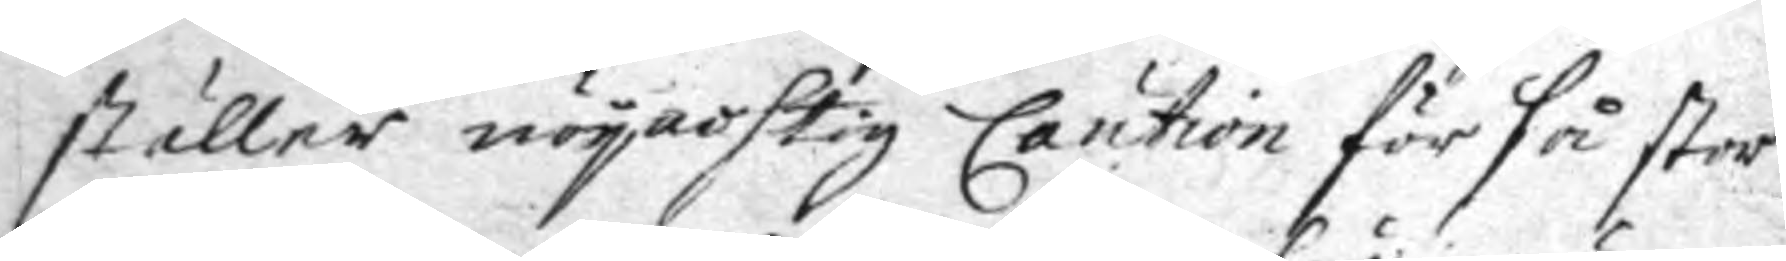ställer nöyactig Caution för få stor
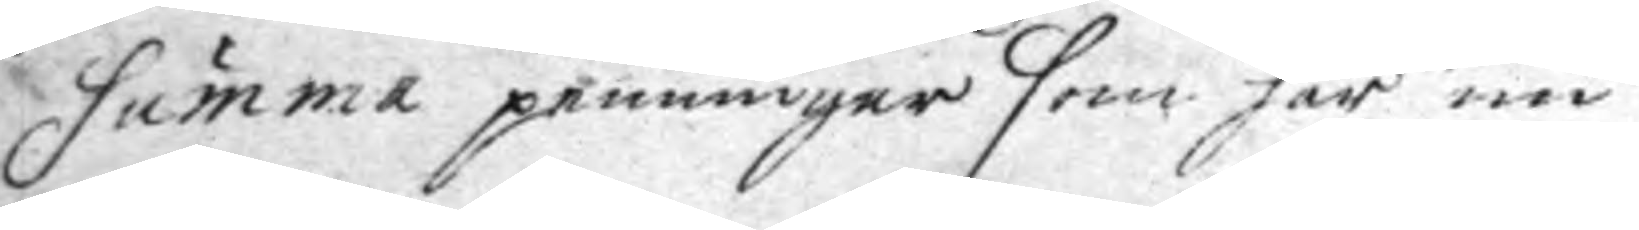Summa penningar som här u
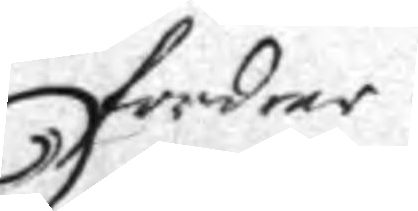fordrar
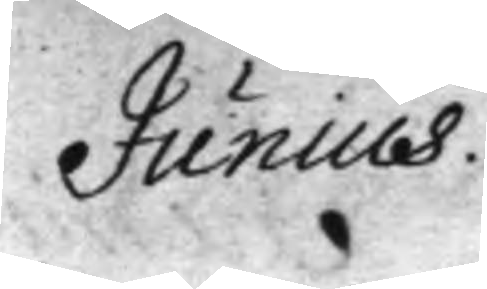Junius
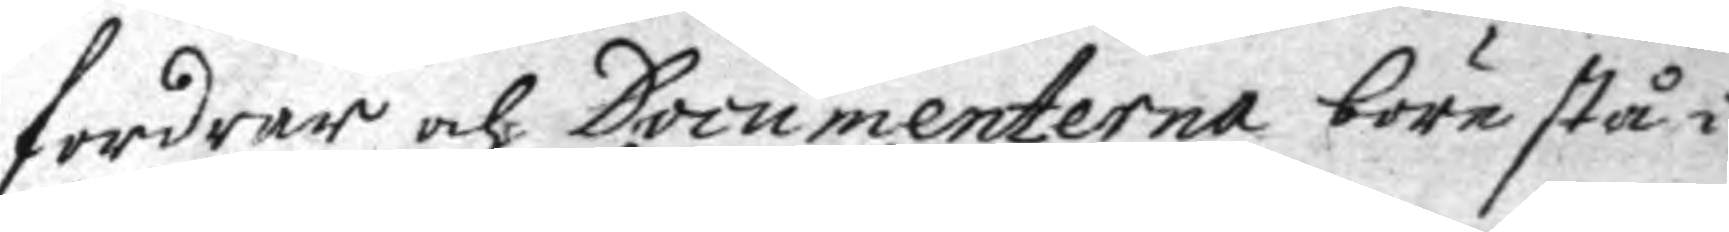fordrar och Documenterna böre stå i
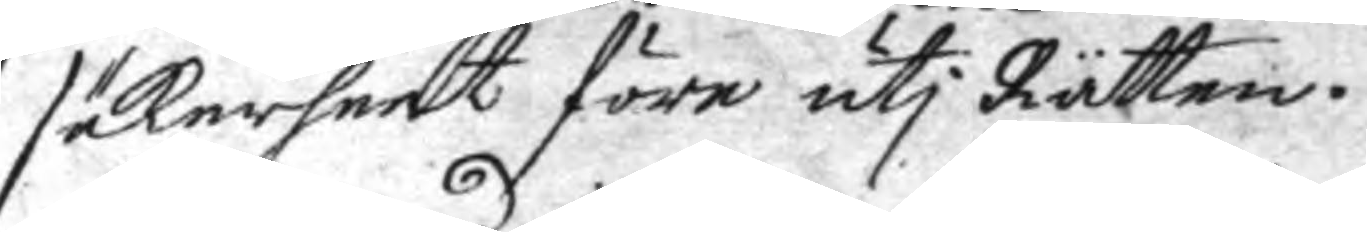säkerheet före uti Rätte.
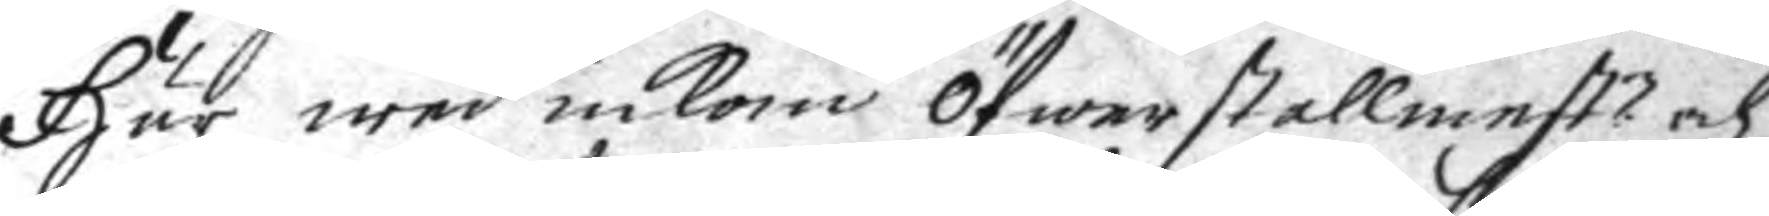Här wed inkom Öfwerstallmest:n och
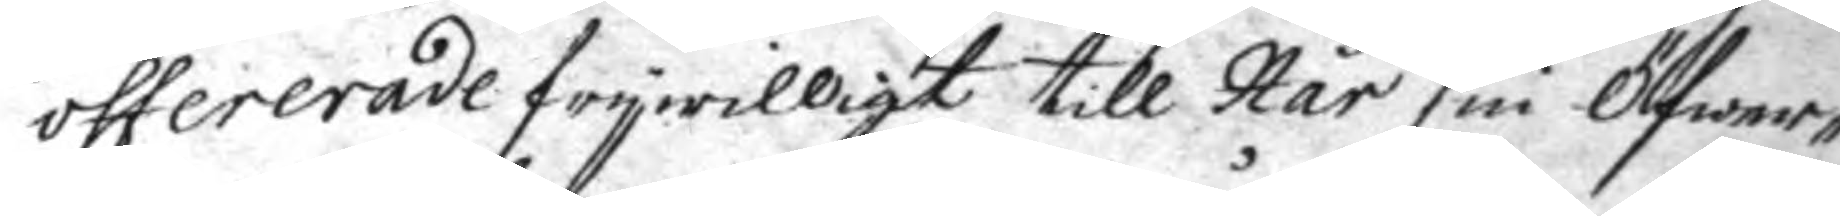offererade frywilligt till Hår sin Öfwer¬
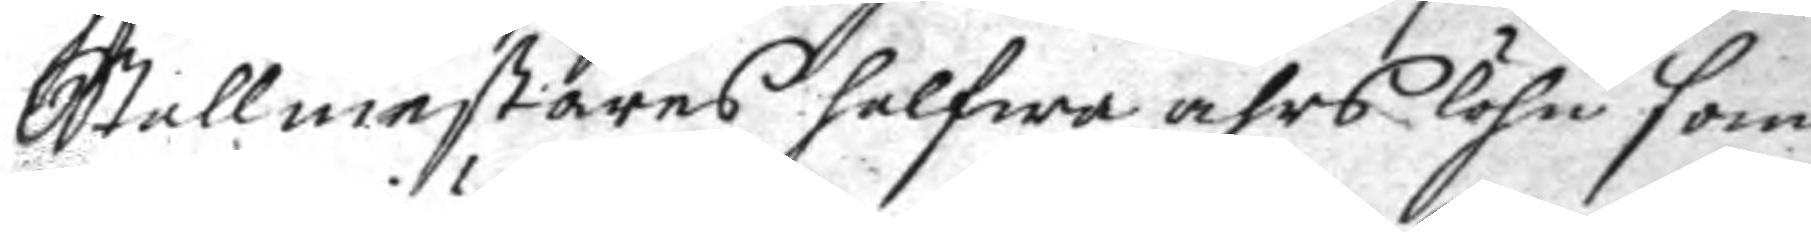Stallmestarens halfwa åhrs löhn som
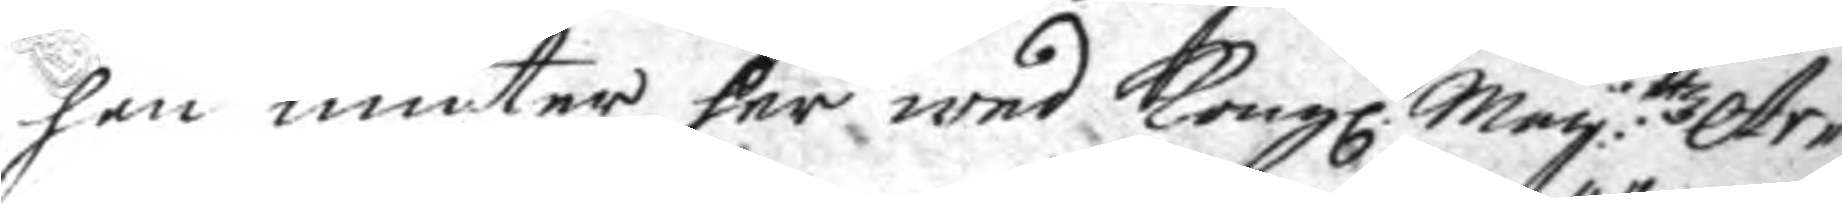han niuter her wed Kongl. May:ttz Ar¬
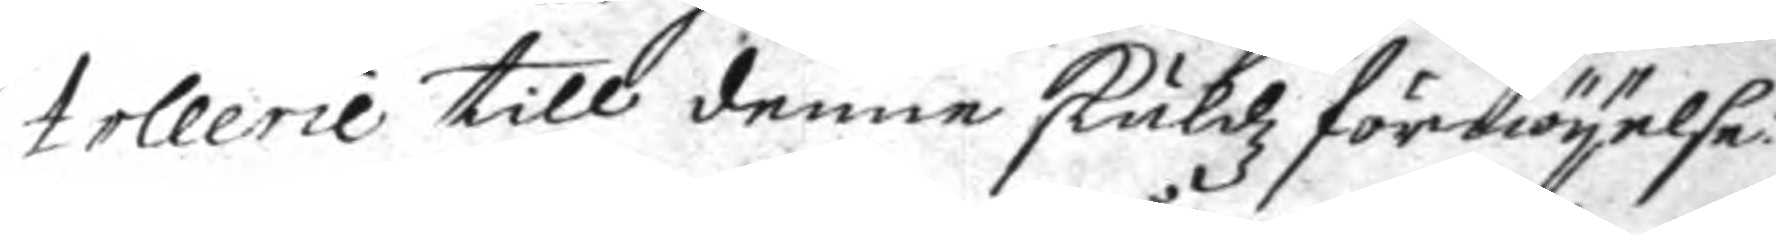tollerie till denne skuldz förnöyelse
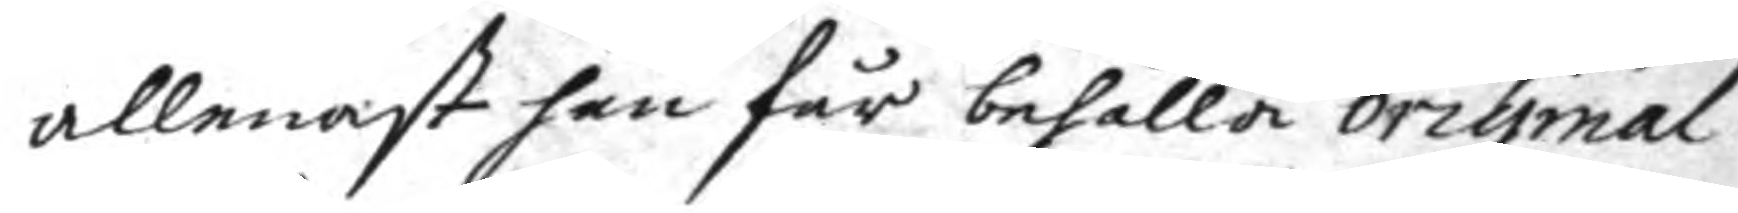allenast han får behålla original
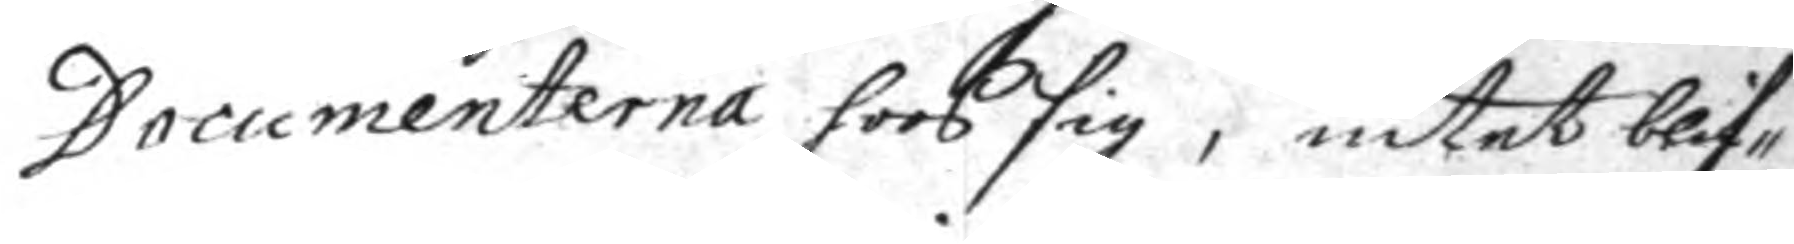Documenterna hoos sig; intet blif¬
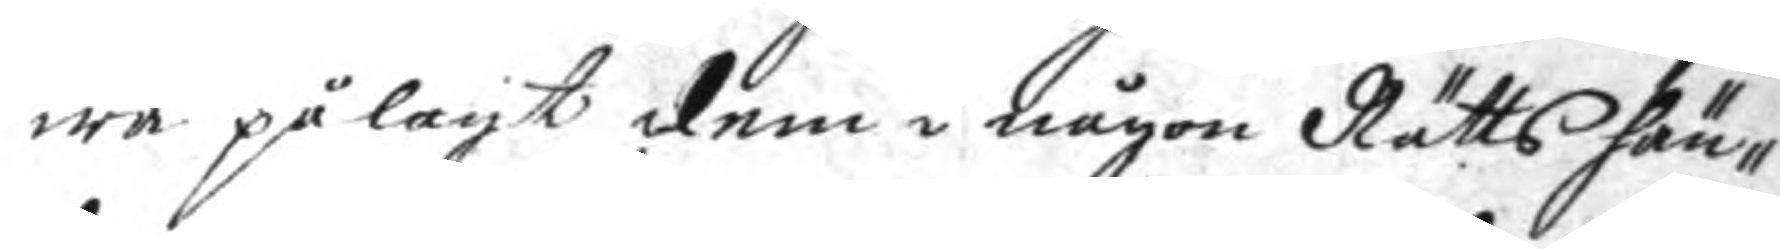wa pålagt dem i någon Rätts hän¬
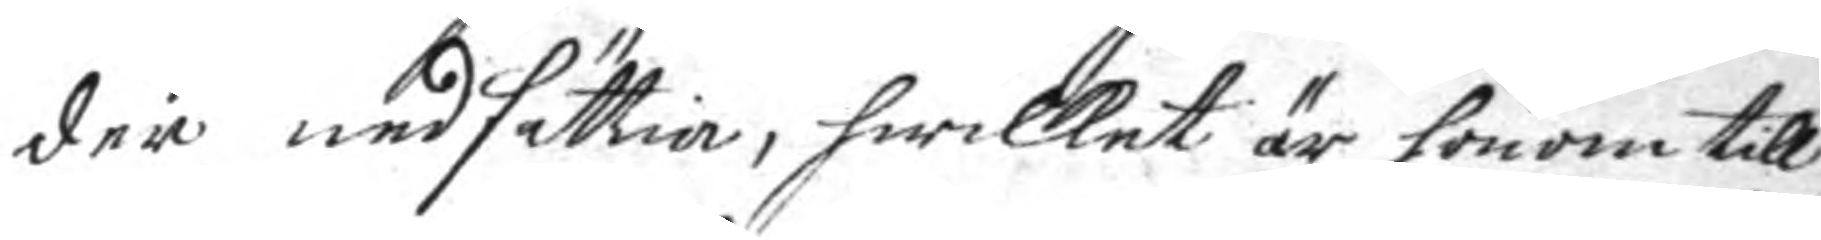der nedsättia, hwilket är honom tll
